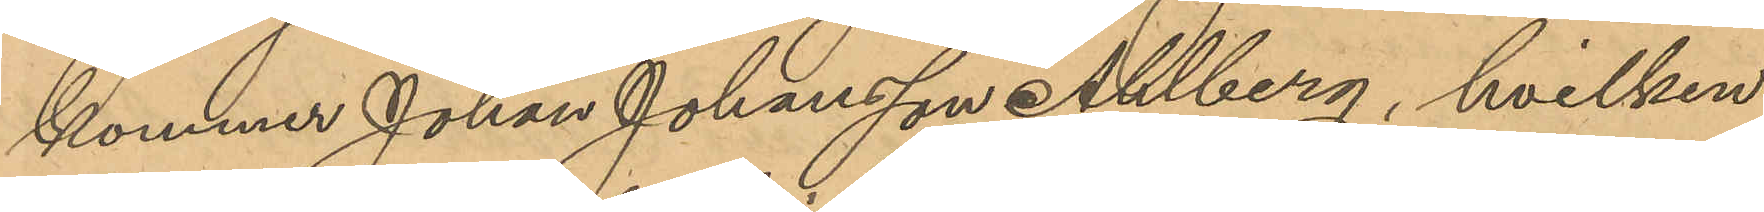kommer Johans Johansson Ahlberg, hvilken
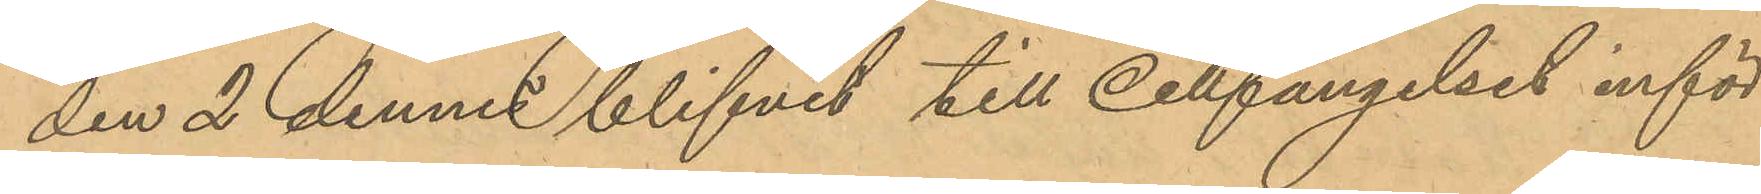den 2 dennes blifvit till Cellfängelset inför¬
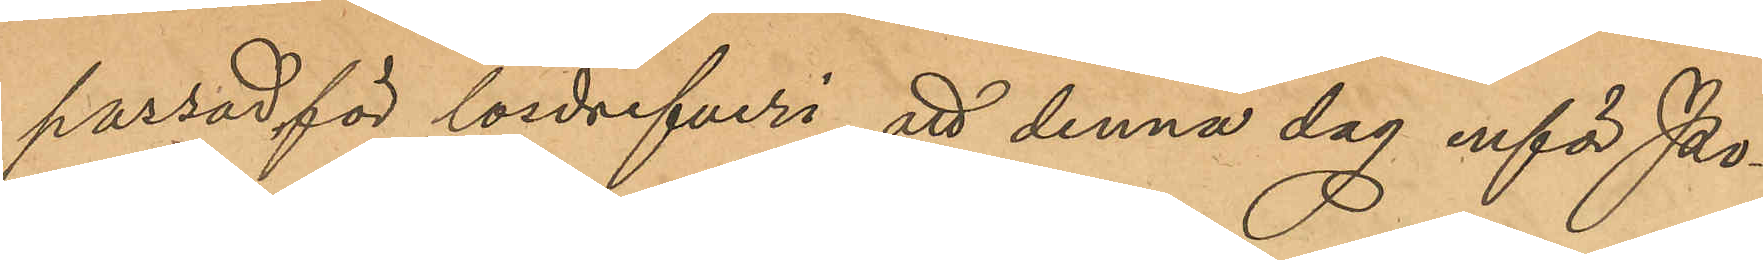passad för lösdrifveri, att denna dag inför Po¬
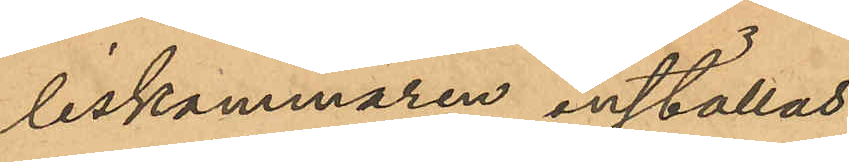liskammaren inställas.
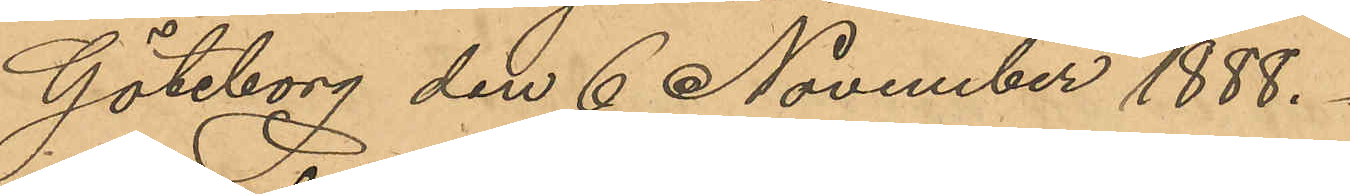Göteborg den 6 November 1888.
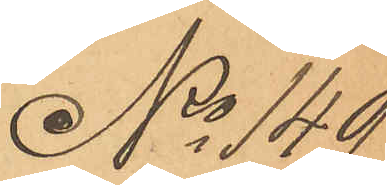No 149
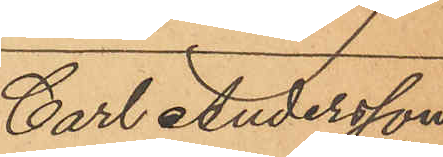Carl Andersson
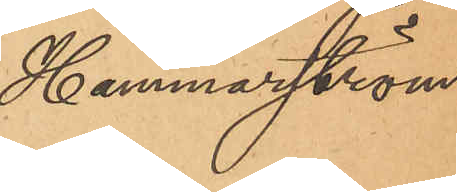Hammarström.
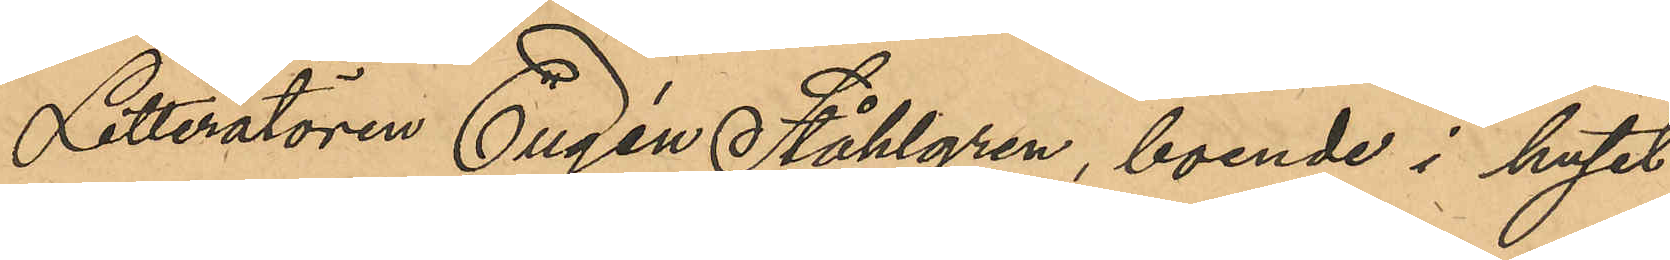Litteratören Eugén Ståhlgren, boende i huset
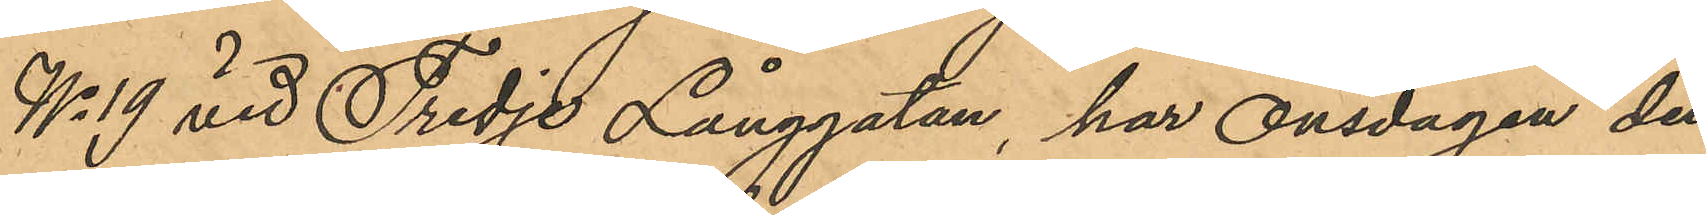No 19 vid Tredje Långgatan, har Onsdagen den
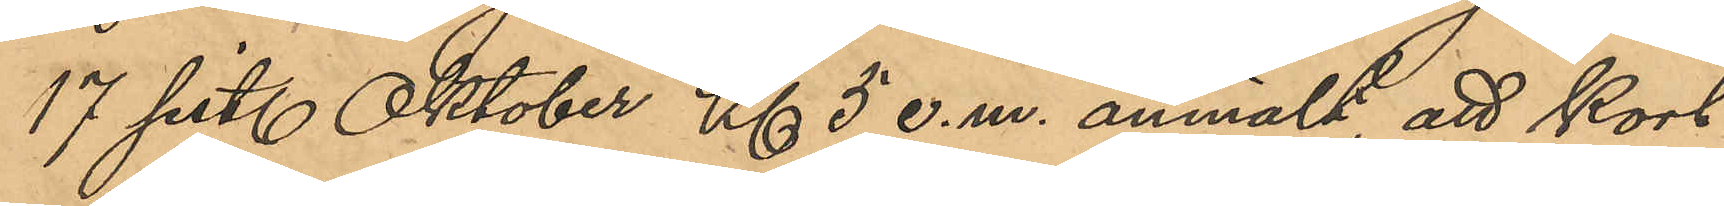17 sist. Oktober Kl 5 e.m. anmält, att kort
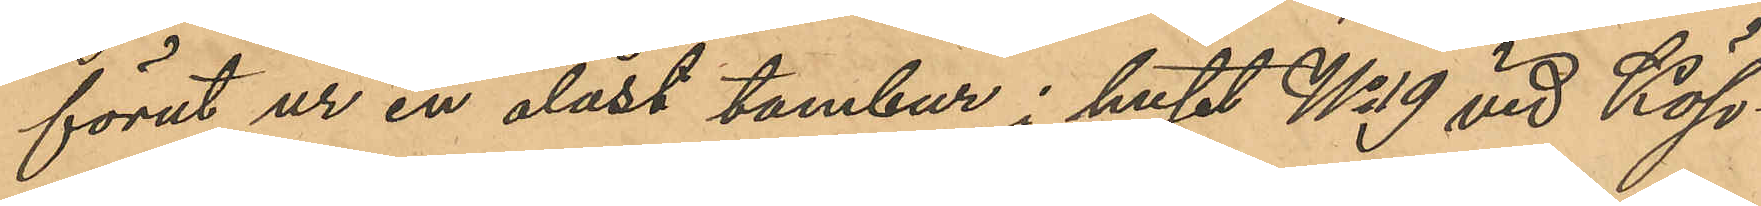förut ur en olåst tambur i huset No 19 vid Köp¬
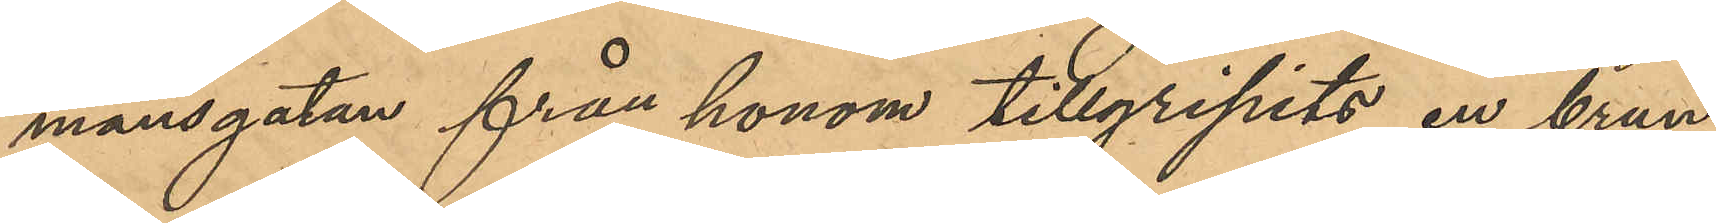mansgatan från honom tillgripits en brun
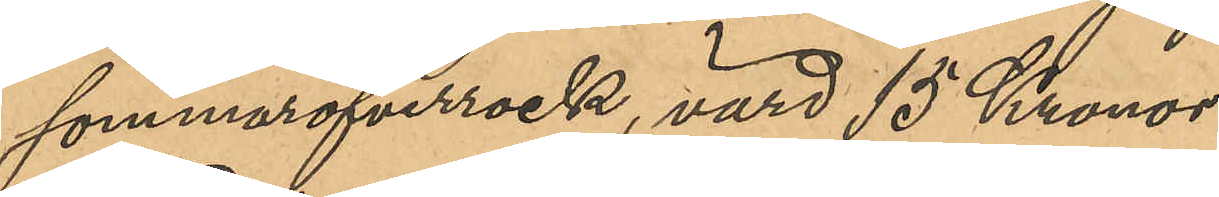sommaröfverrock, värd 15 Kronor.
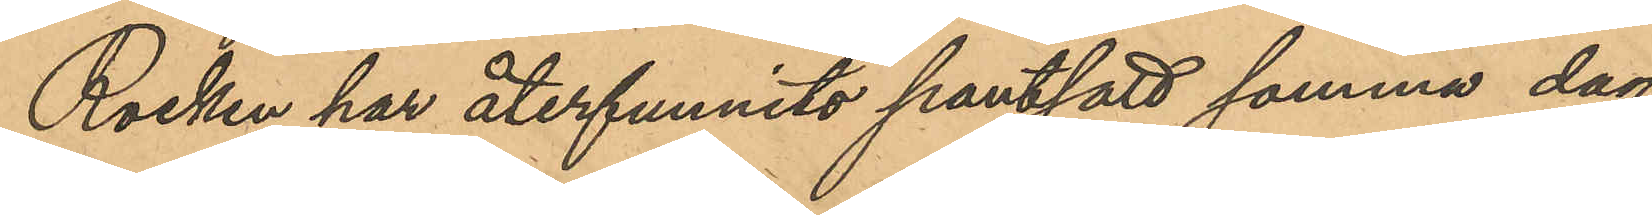Rocken har återfunnits pantsatt samma dag
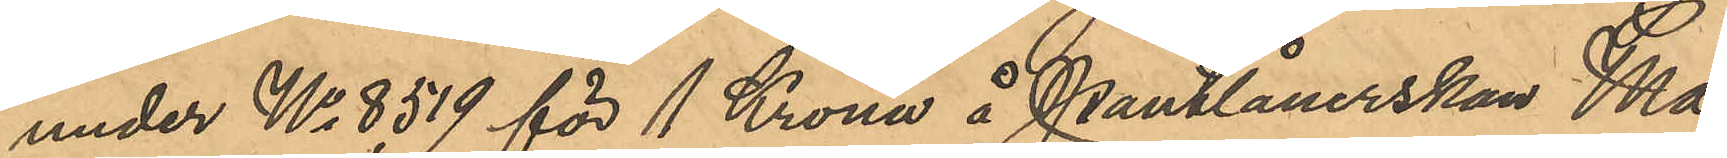under No 8519 för 1 Krona å Pantlånerskan Ma¬
